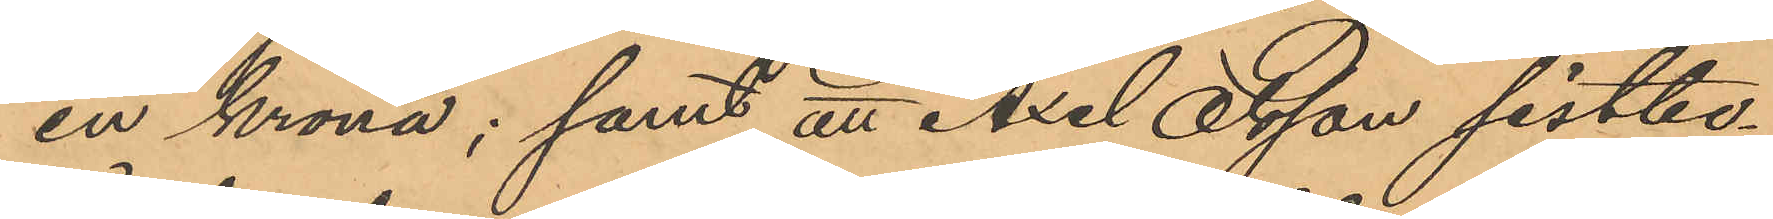en krona; samt att Axel Olsson sistbe¬
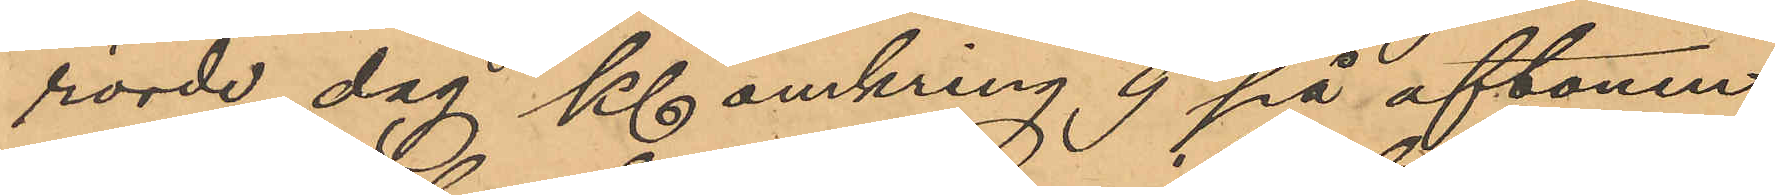rörde dag Kl omkring 9 på aftonen
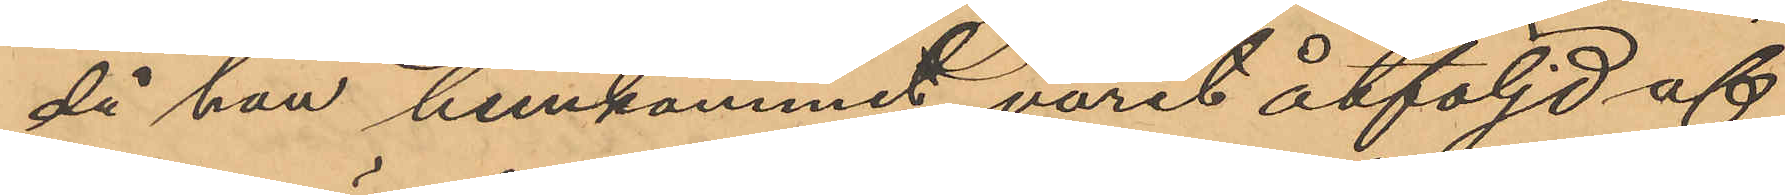då han hemkommit, varit åtföljd af
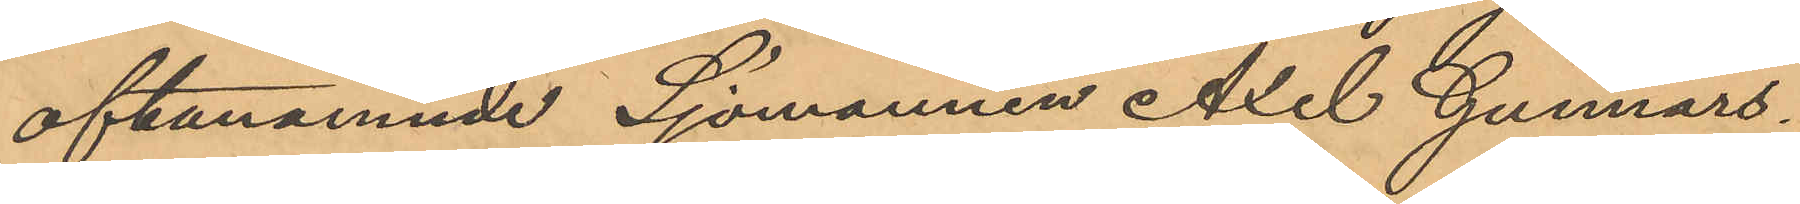oftanämnde Sjömannen Axel Gunnars¬
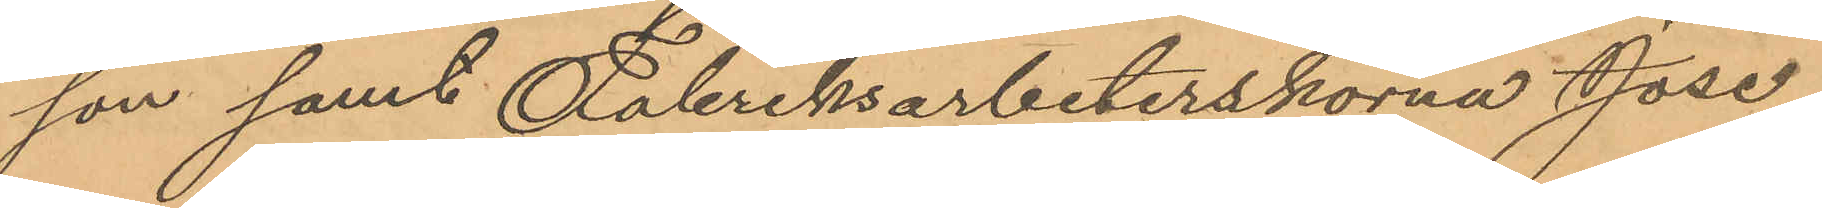son samt Fabriksarbeterskorna Jose¬
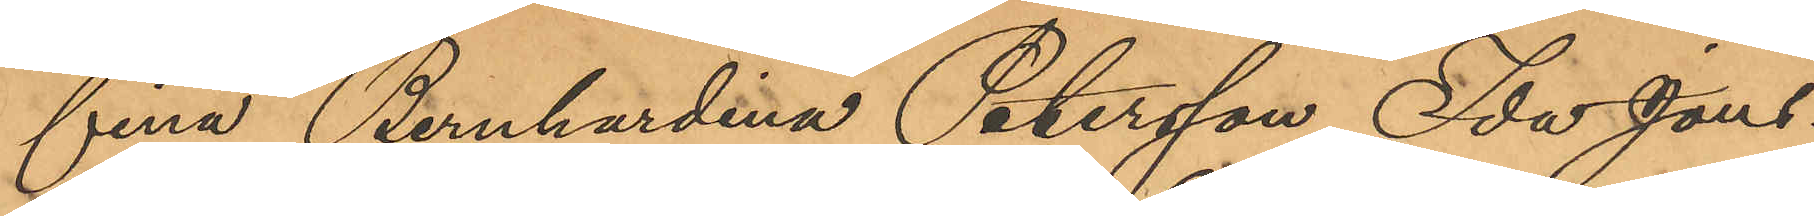fina Bernhardina Petersson, Ida Jons¬
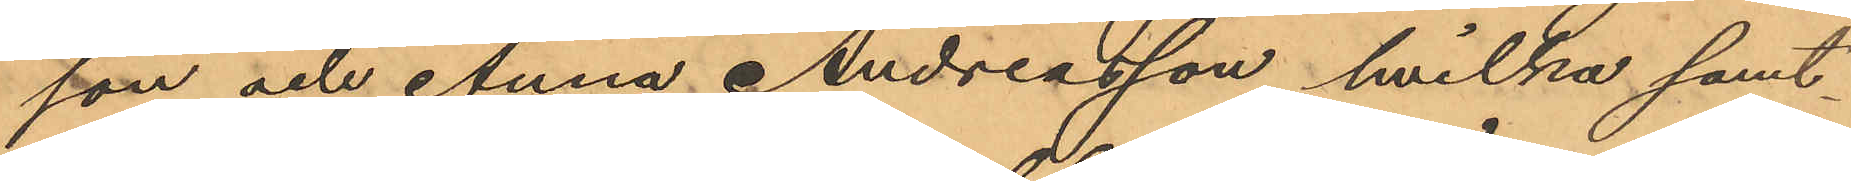son och Anna Andreasson, hvilka samt¬
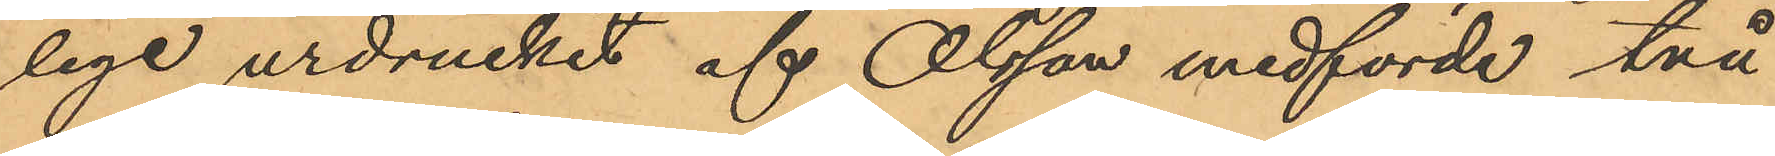lige urdruckit af Olsson medförde två
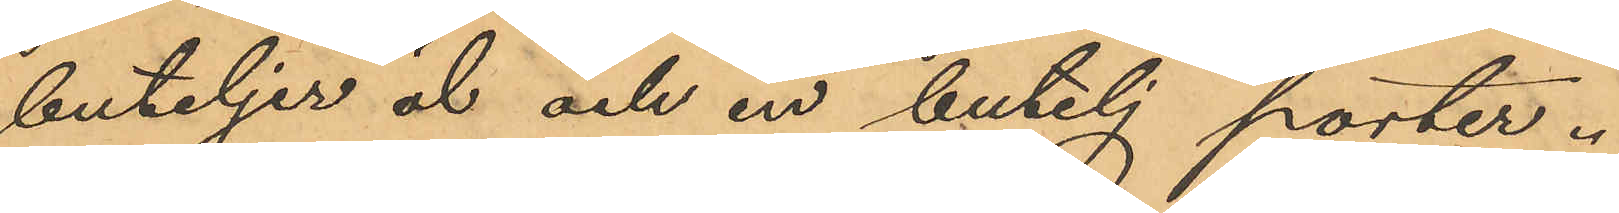buteljer öl och en butelj porter.
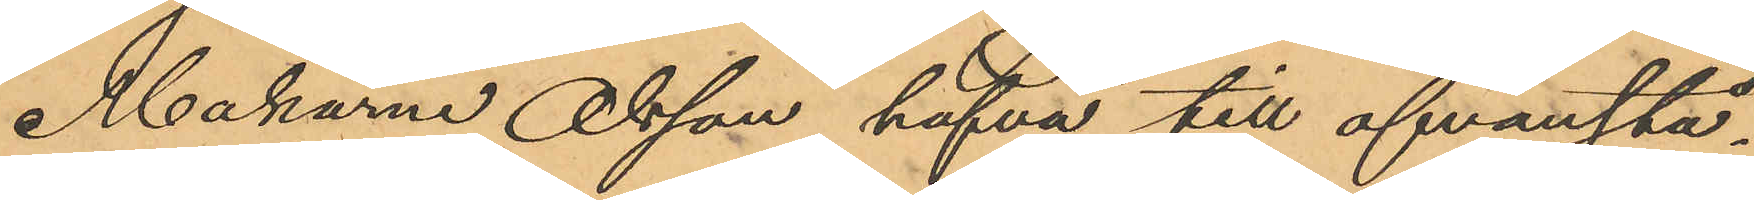Makarna Olsson hafva till ofvanstå¬
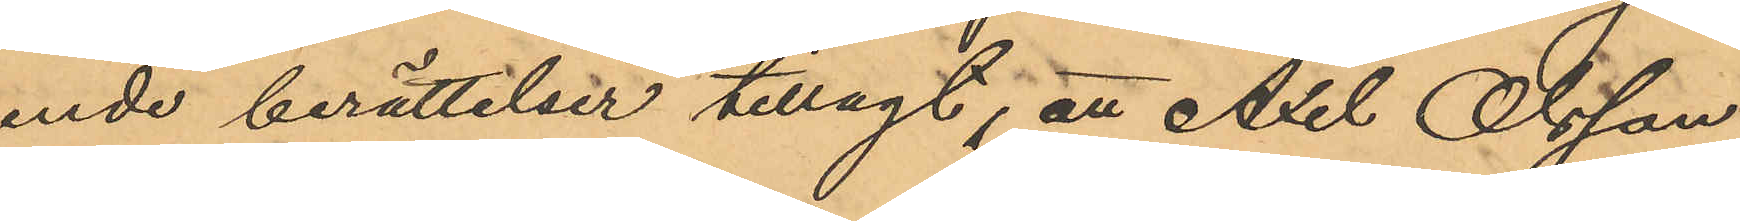ende berättelser tillagt, att Axel Olsson
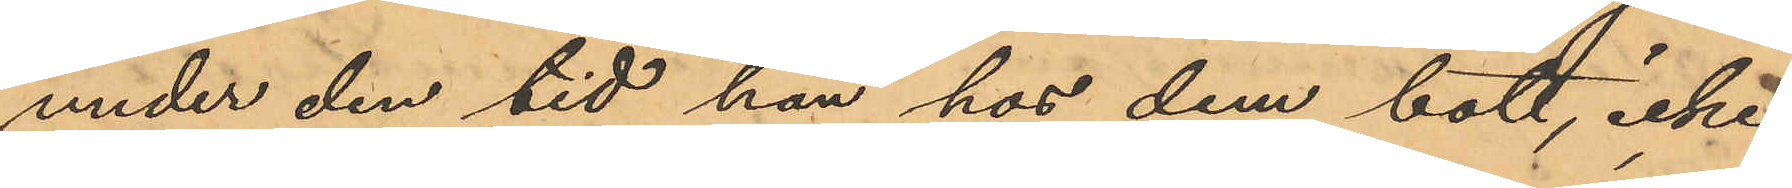under den tid han hos dem bott, icke
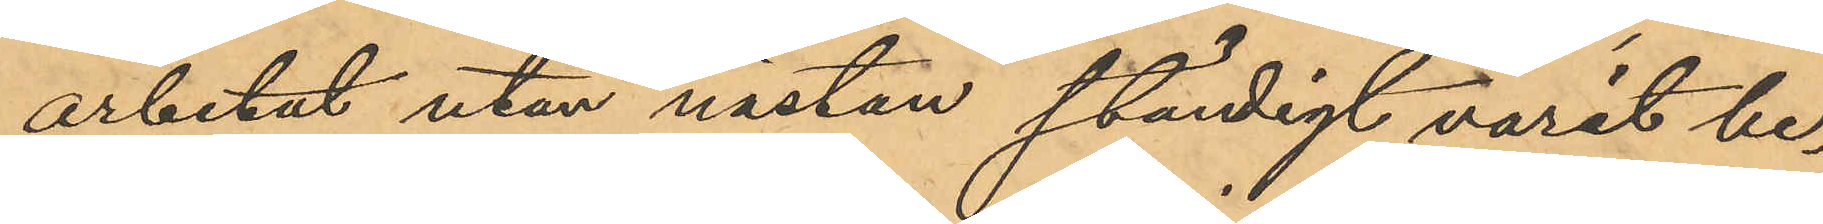arbetat utan nästan ständigt varit be¬
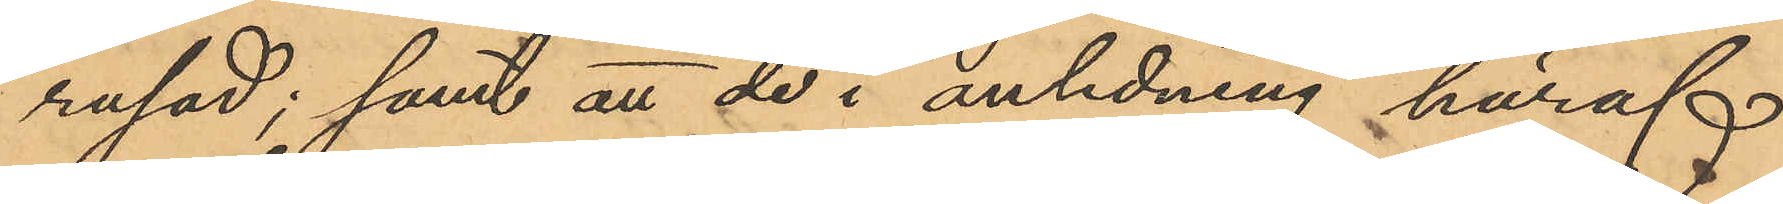rusad; samt att de i anledning häraf
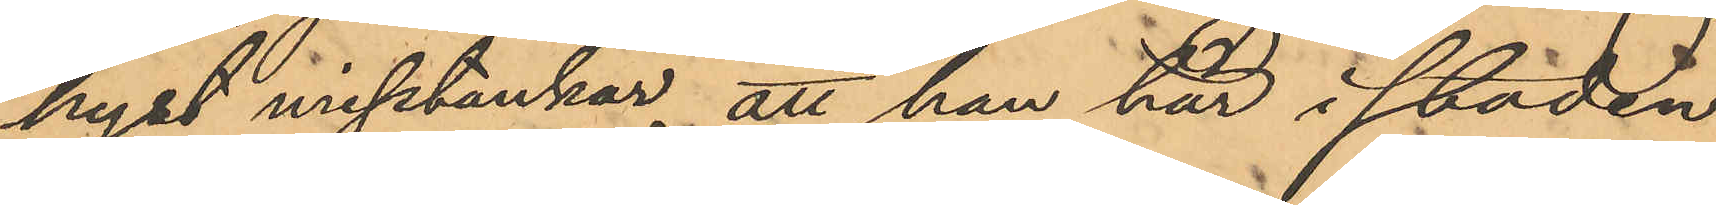hyst misstankar, att han här i staden
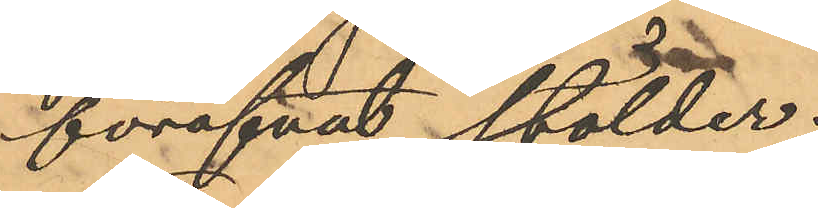föröfvat stölder;
